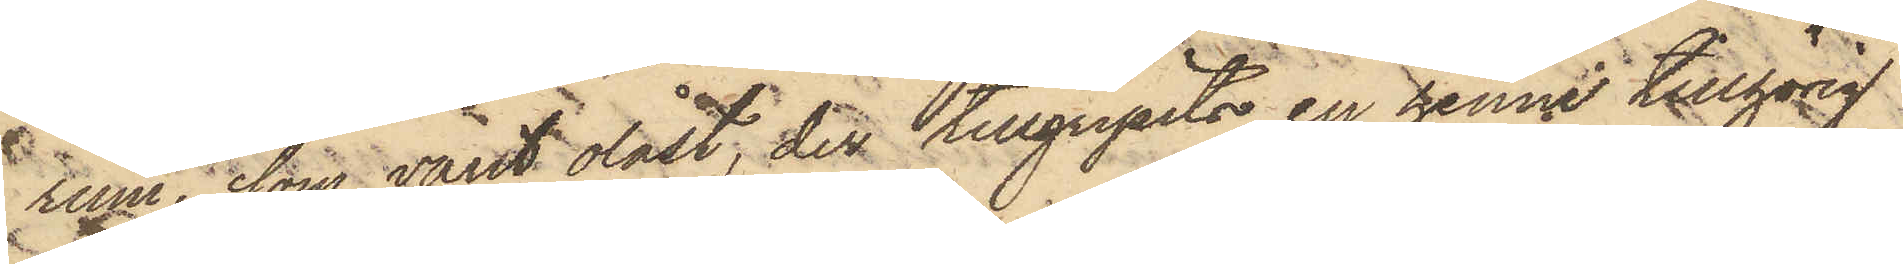rum, som varit olåst, der tillgripits en henne tillhörig
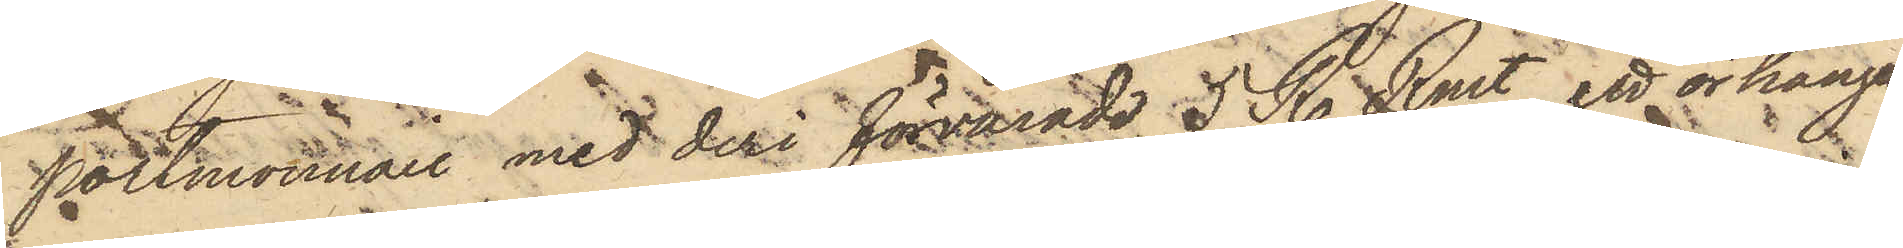Portmonnaie med deri förvarade 5 R. Rmt, ett örhänge
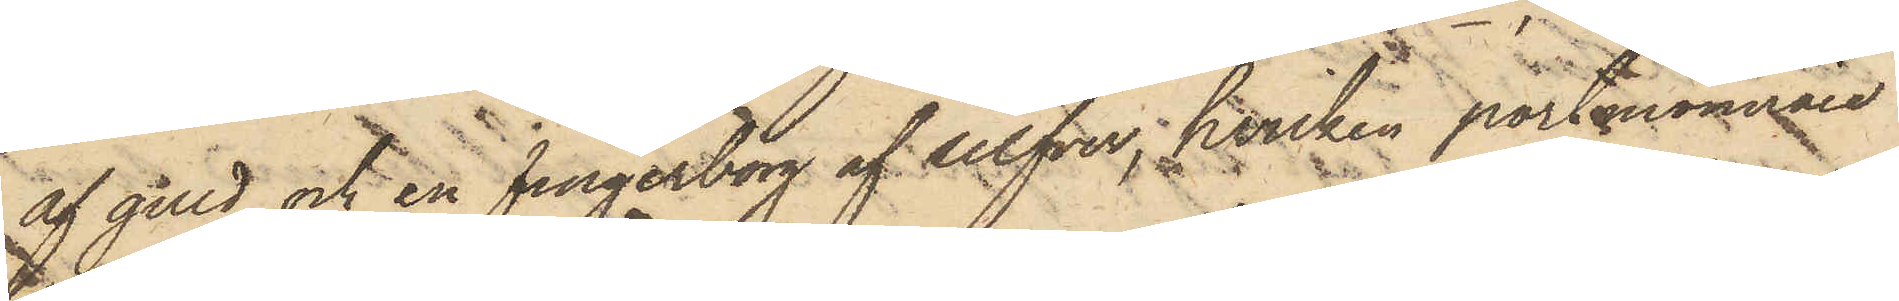af guld och en fingerborg af silfver, hvilken portmonnaie
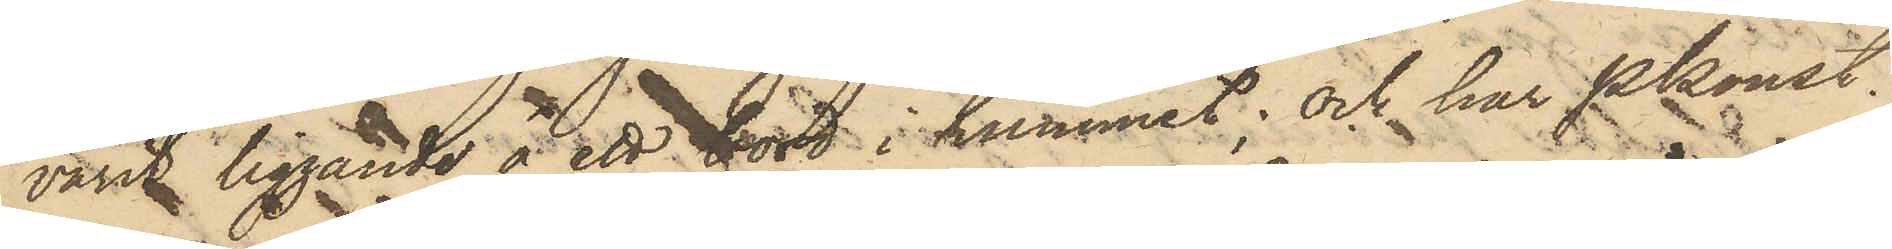varit liggande å ett bord i rummet; och har Pkonst.
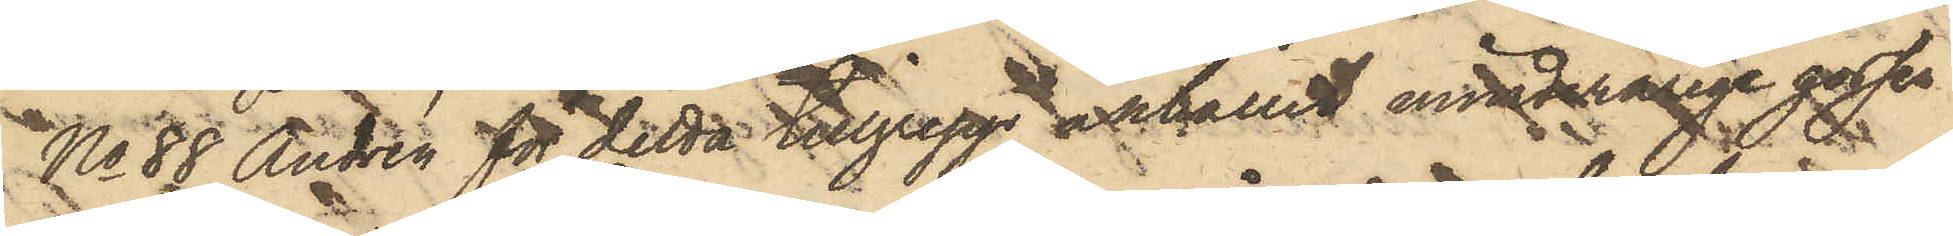No 88 Andrén för detta tillgrepp anhållit minderårige gossen
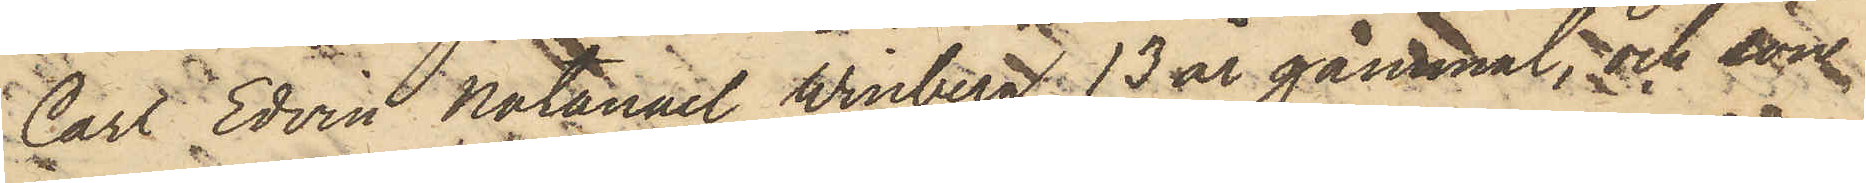Carl Edvin Natanael Winberg, 13 år gammal, och son
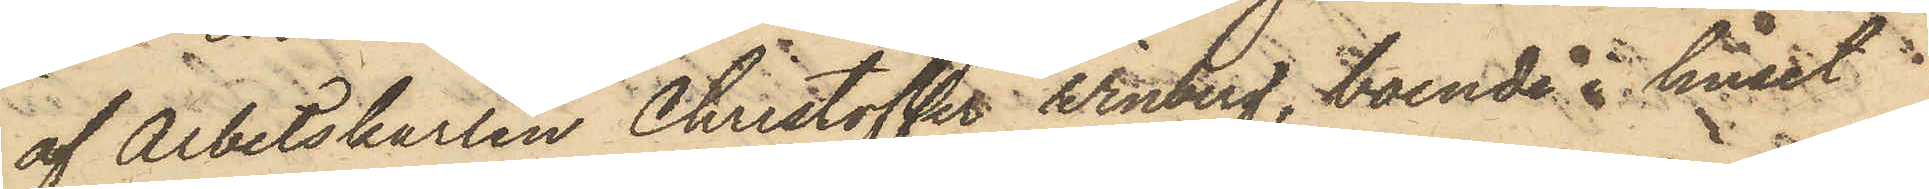af Arbetskarlen Christoffer Winberg, boende i huset
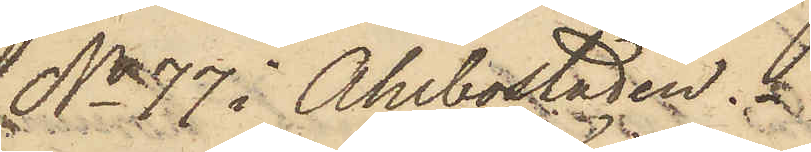No 77 i Ahlbostaden.
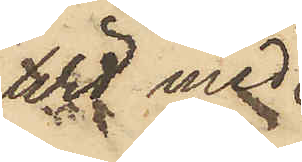Wid med
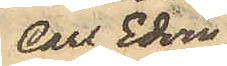Carl Edvin
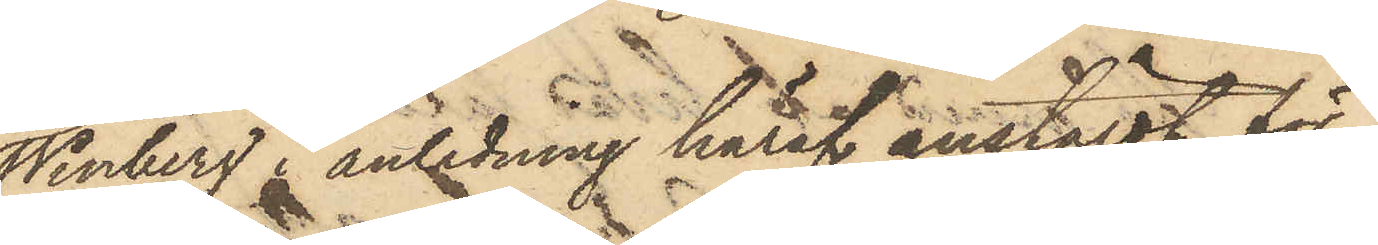Winberg i anledning häraf anstäldt för¬
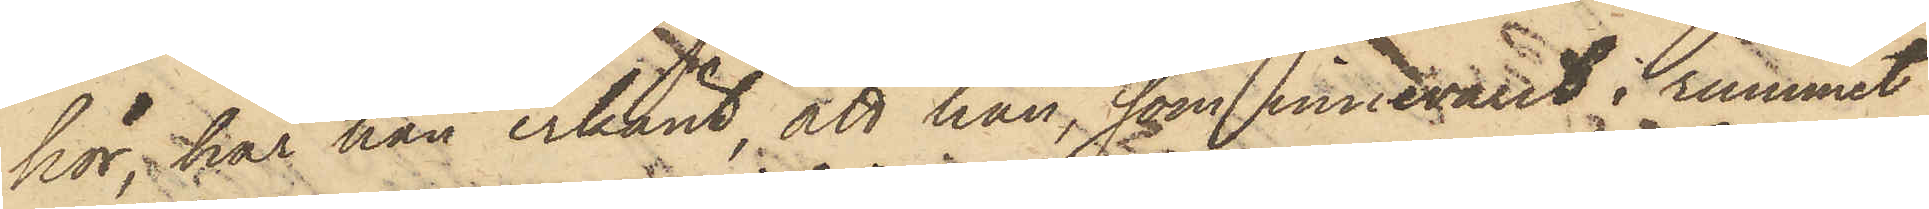hör, har han erkänt, att han, som innevarit i rummet
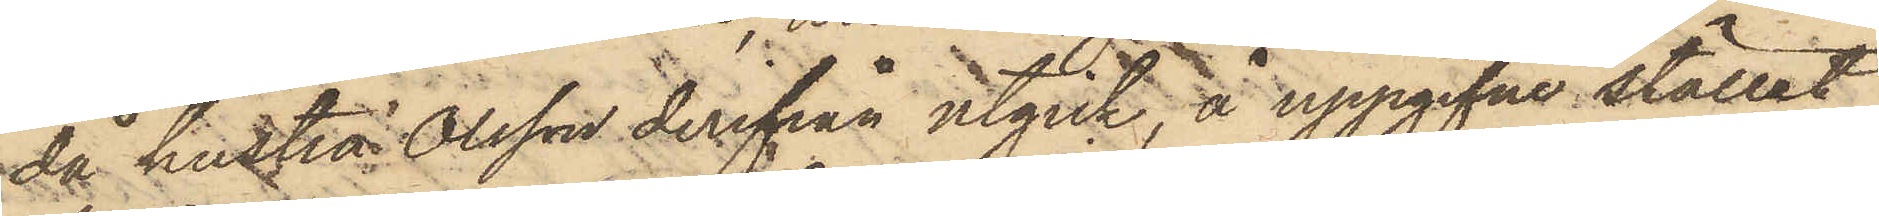då hustru Olsson derifrån utgick, å uppgifne stället
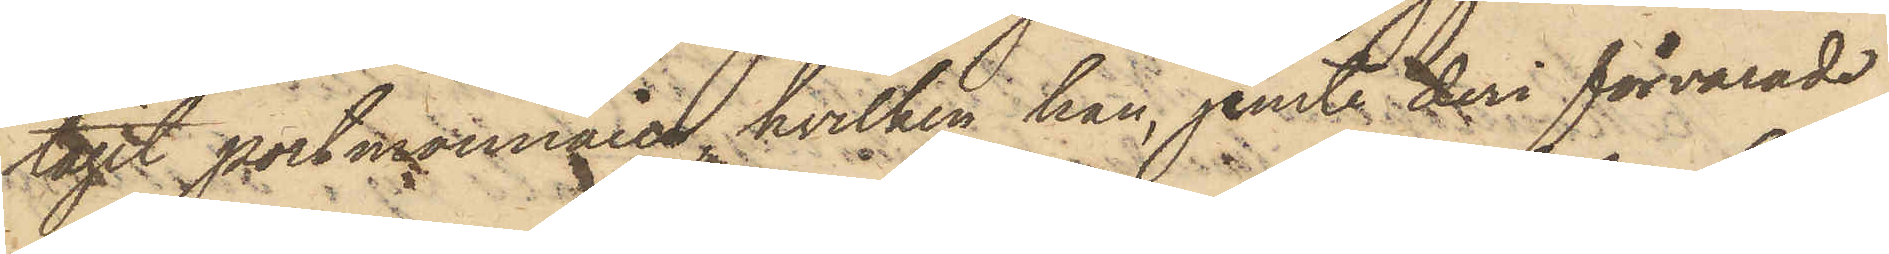tagit portmonnain, hvilken han, jemte deri förvarade
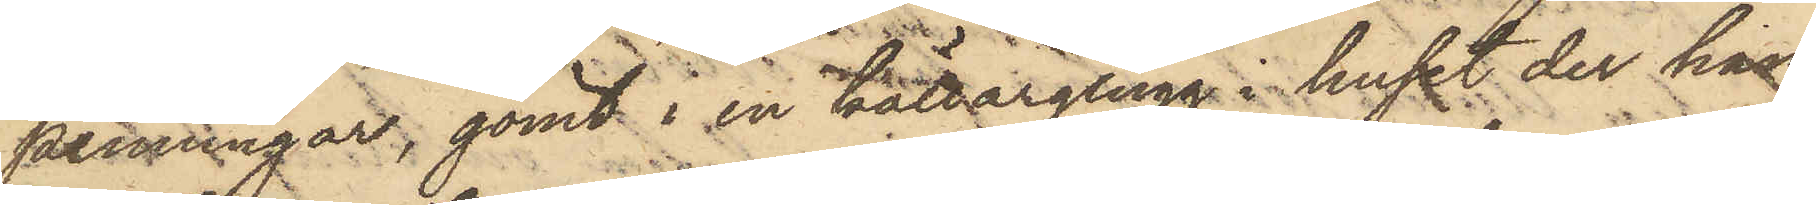penningar, gömt i en källarglugg i huset der han
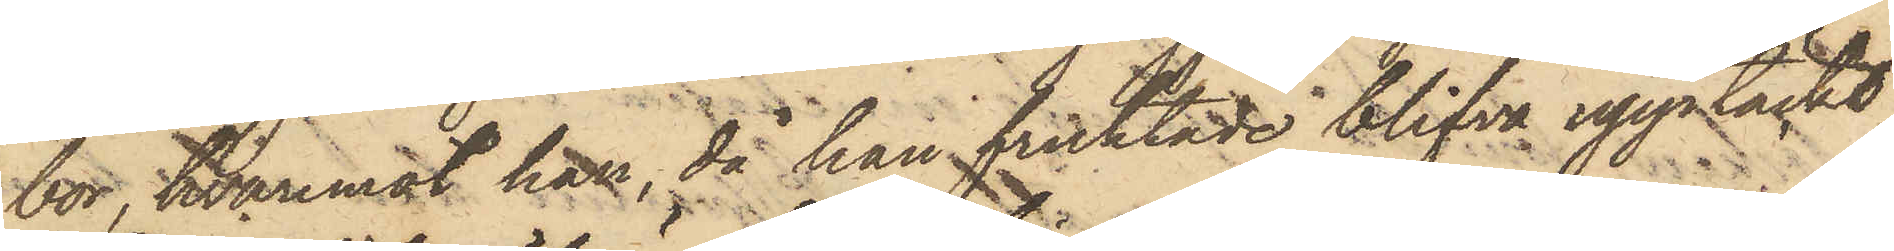bor, hvaremot han, då han fruktade blifva upptäckt,
